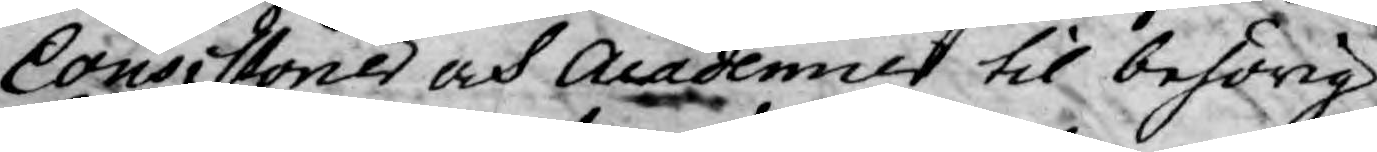Consistorier och Academier til behörig
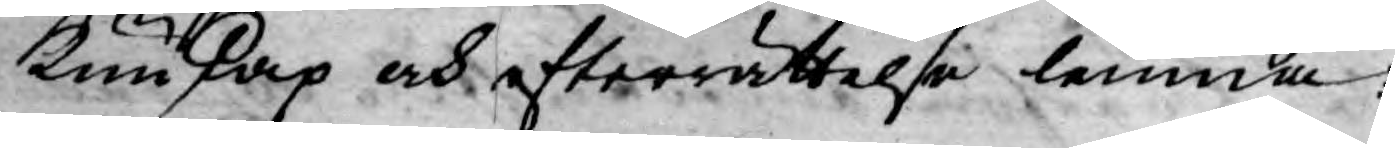kunskap och efterrättelse lemna
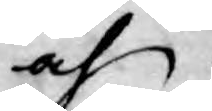och
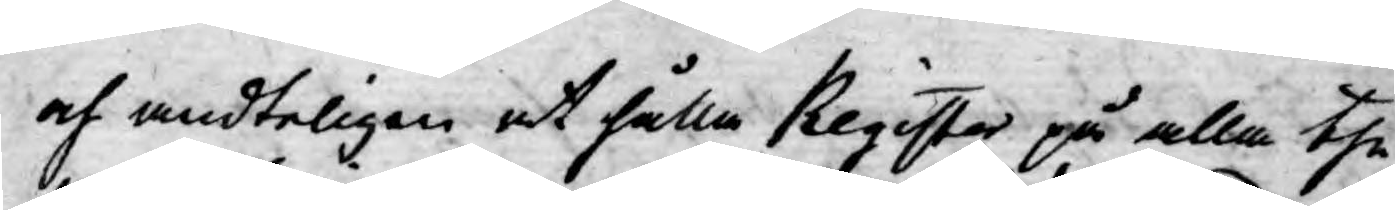och endteligen at hålla Register på alla the
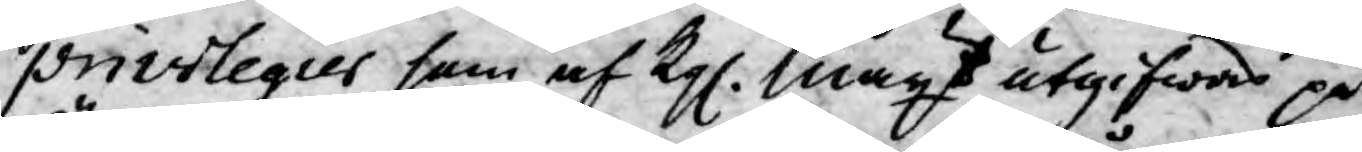privilegier som af Kgl. Mayt utgifwas på
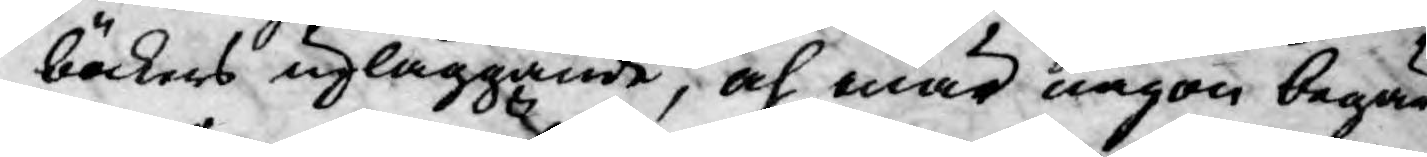böckers upläggande, och när någon begär
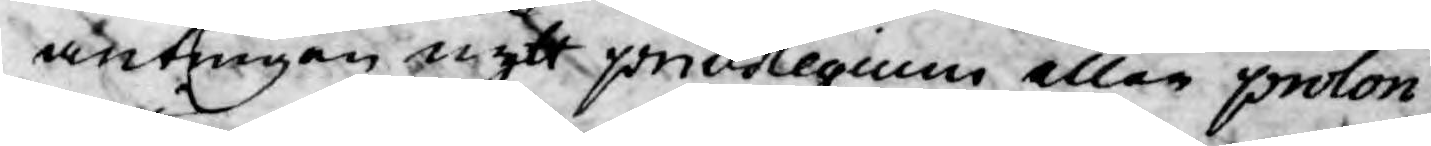antingen nytt privilegium eller prolon¬
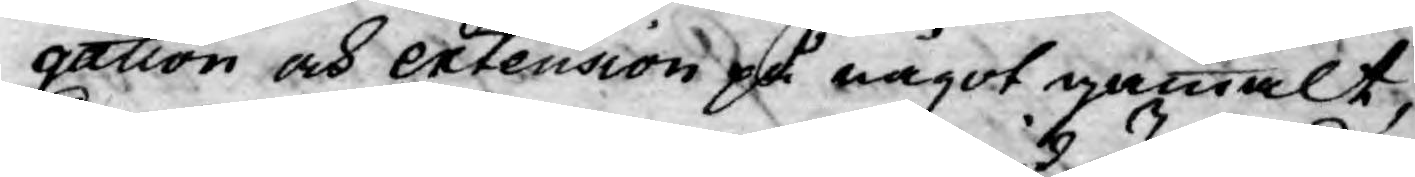gation och extension på något gammalt,
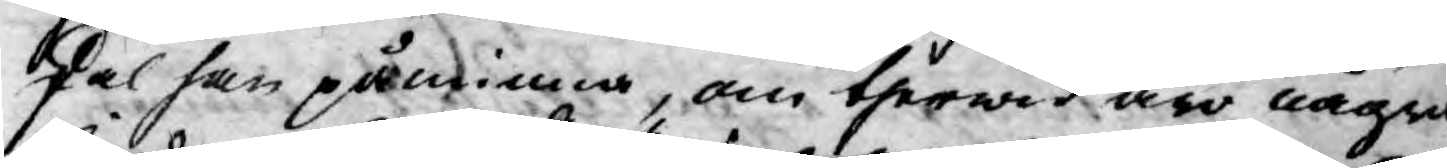skal han påminna, om therwid äro några
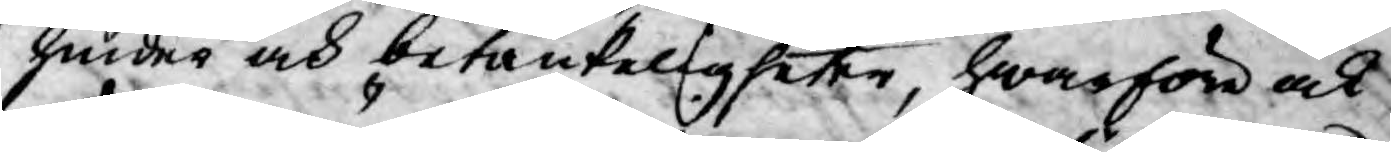hinder och betänkeligheter, hwarför ock
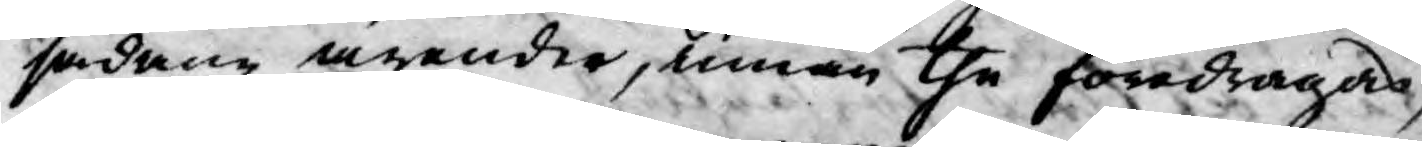sådane ärender, innan the föredragas,
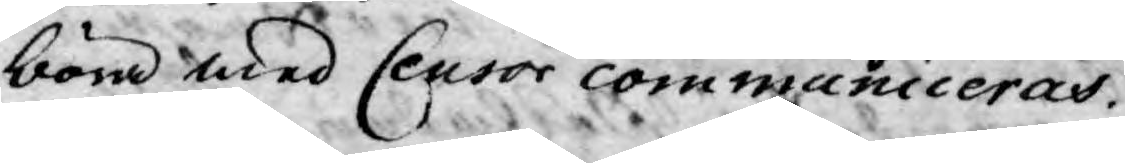böra med Censor communiceras.
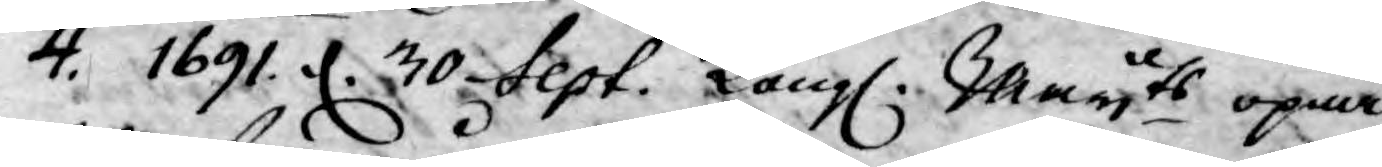4. 1691. d. 30 Sept. Kongl. Mayts öpna
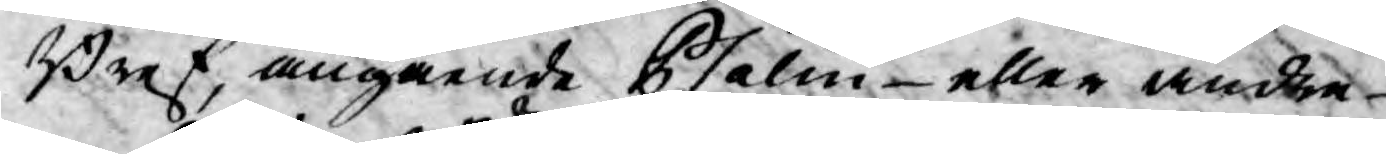Bref, angående Psalm- eller andra
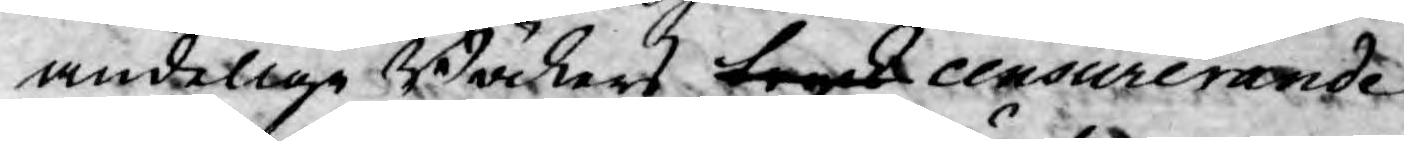andelige Böckers tryck censurerande
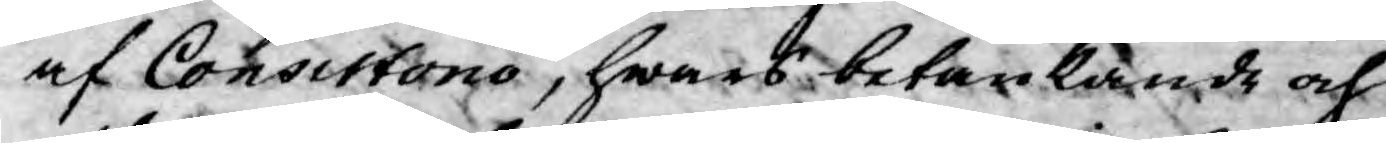af Consistorio, hwars betänkande och
